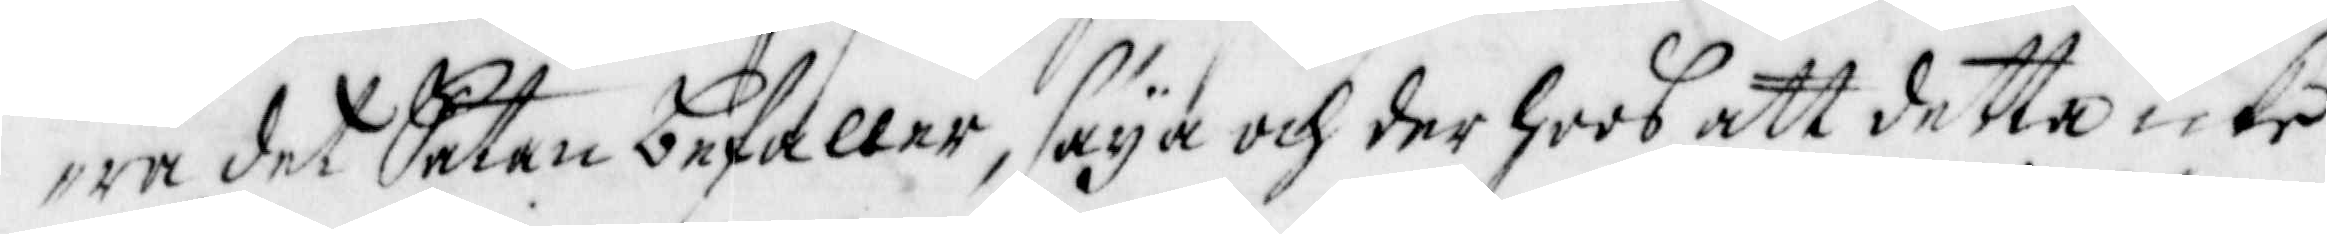ra det Satan befaller, säya och der hoos att detta icke
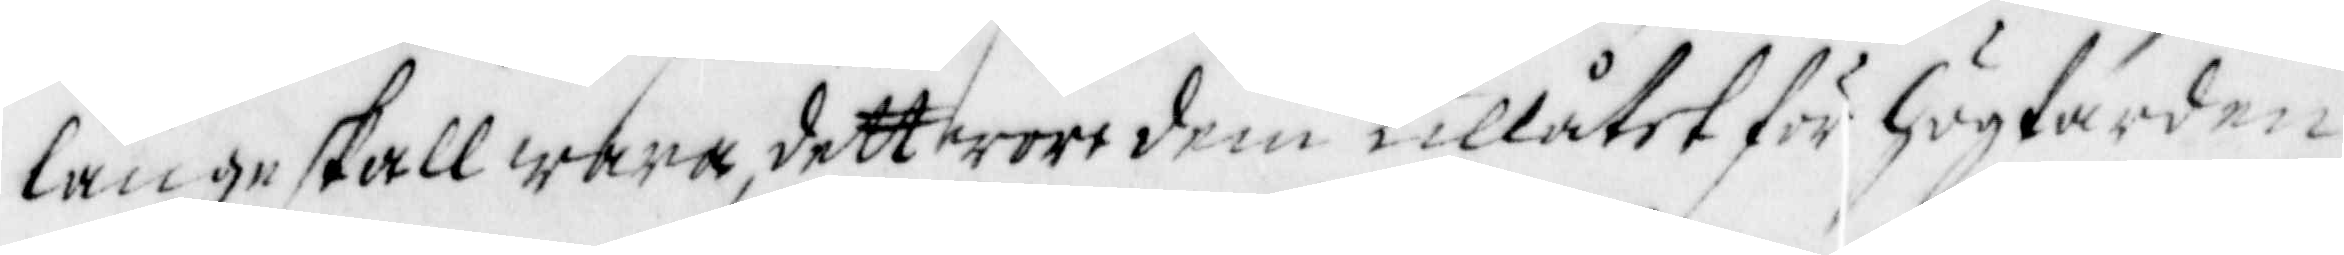längre skall wara, dett wore dem tillåtet för högfärden
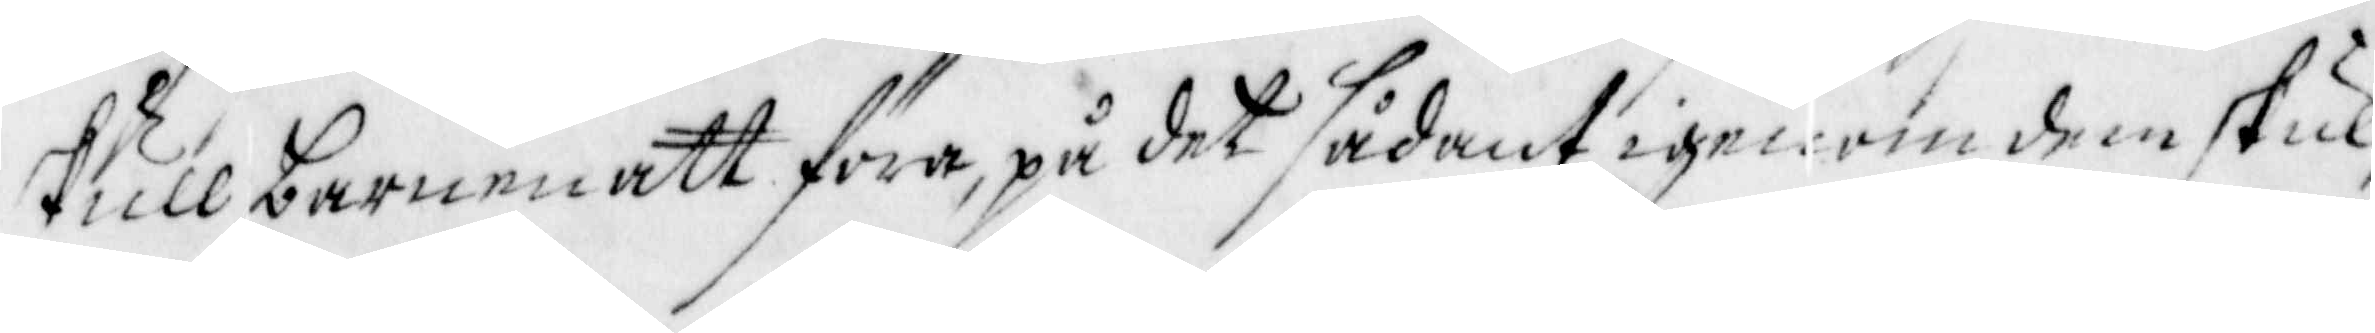skull barnen att föra, på det sådant igenom dem skul¬
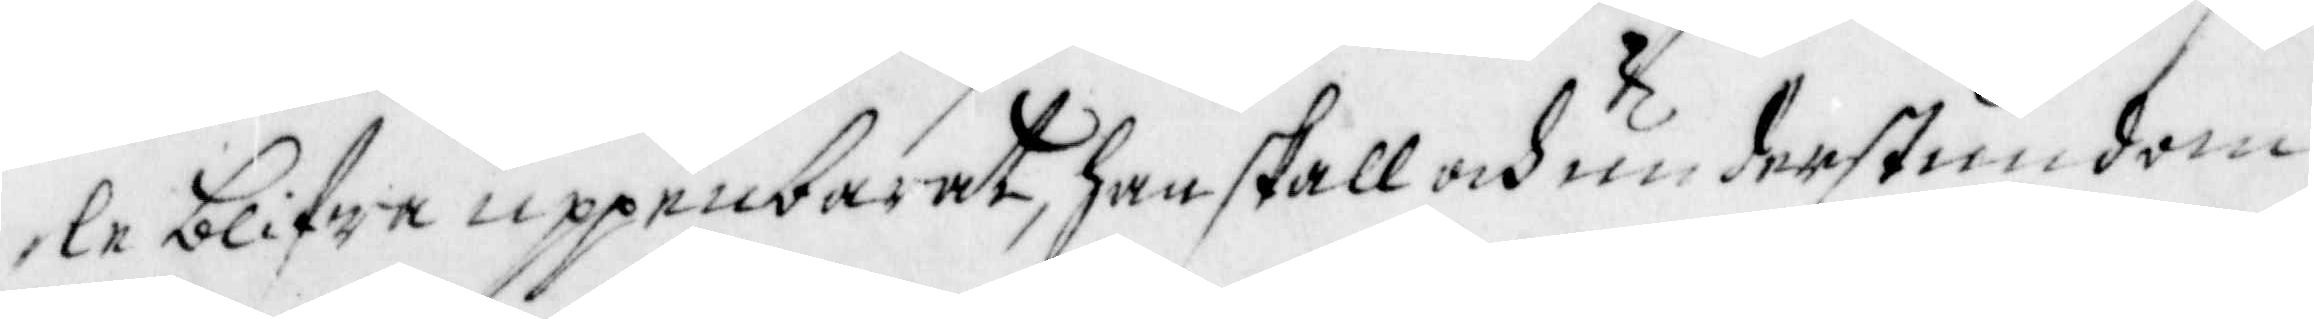le blifwa uppenbarat, han skall och nu der stundom
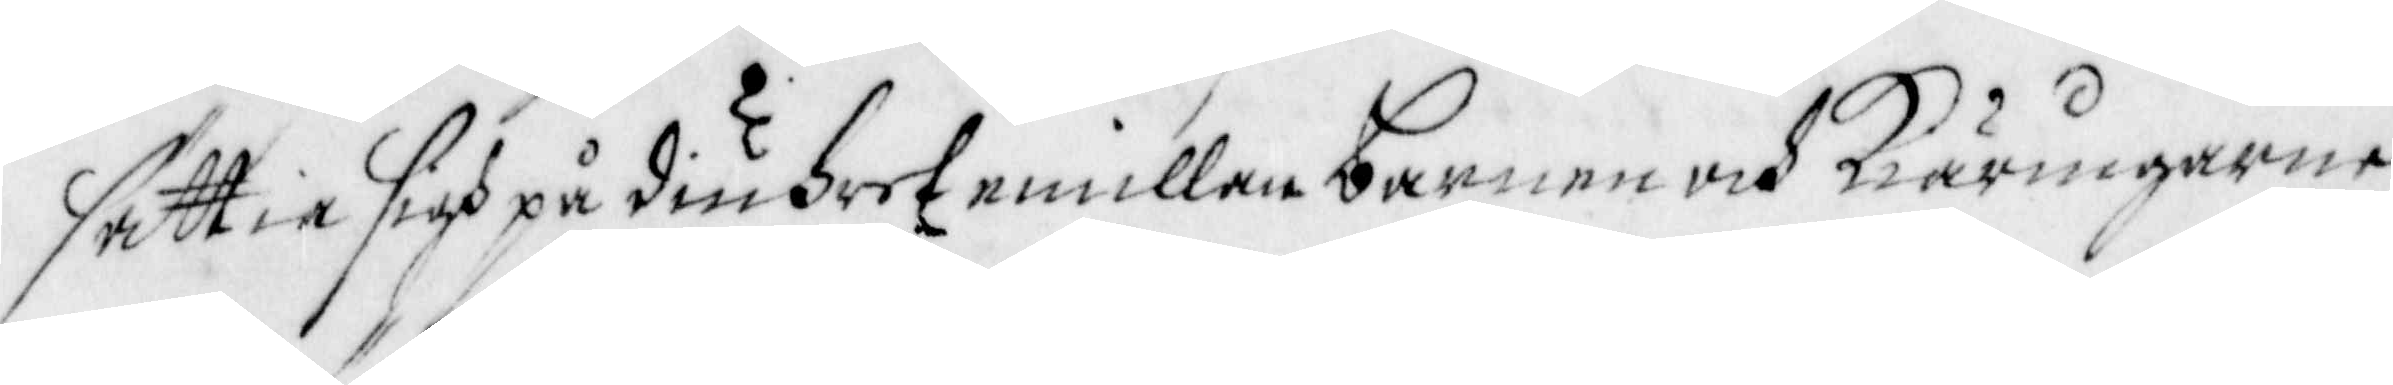sättia sigh på diuhret emillan barnen och Kiäringarne
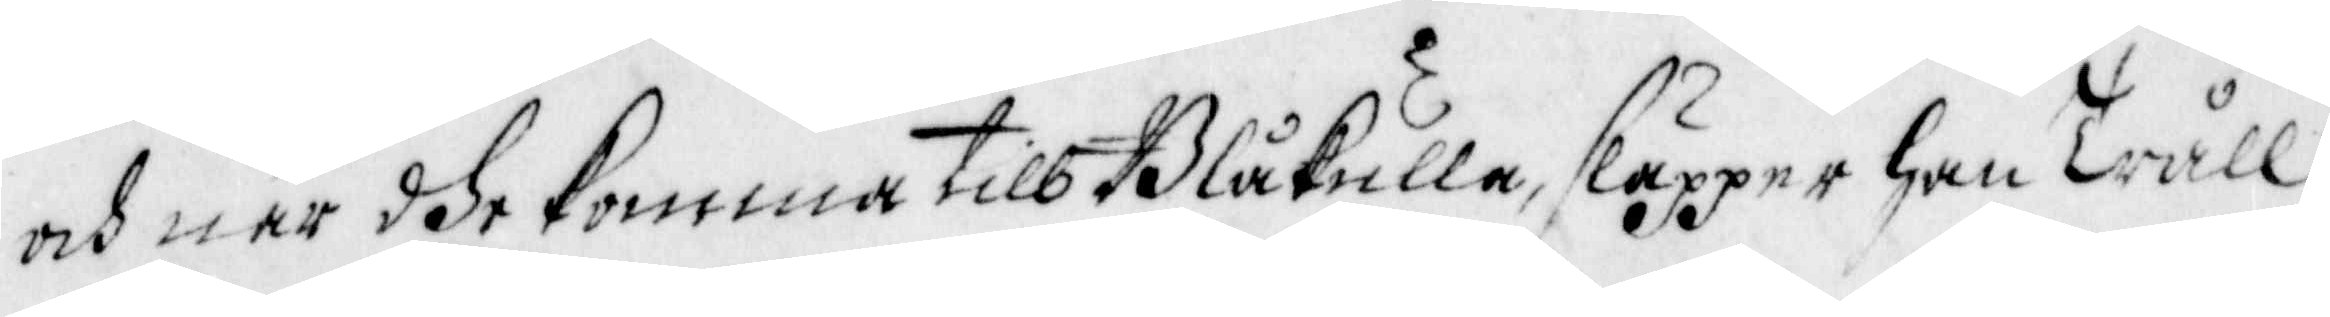och när dhe komma till Blåkulla, släpper han Tråll¬
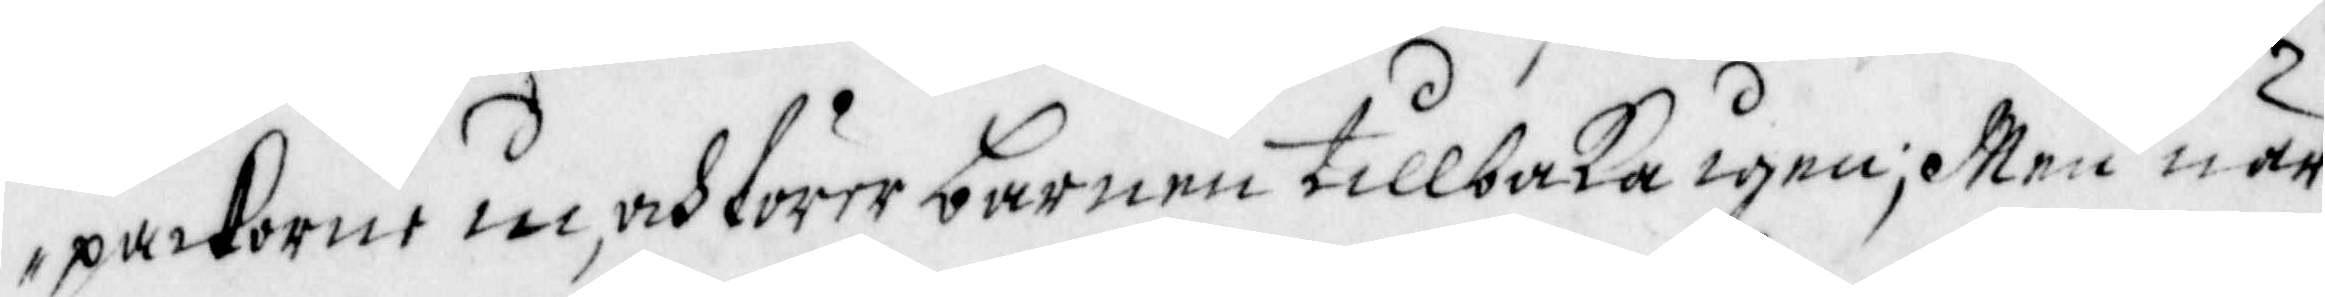packorne in, och förer barnen tillbaka igen; Men när
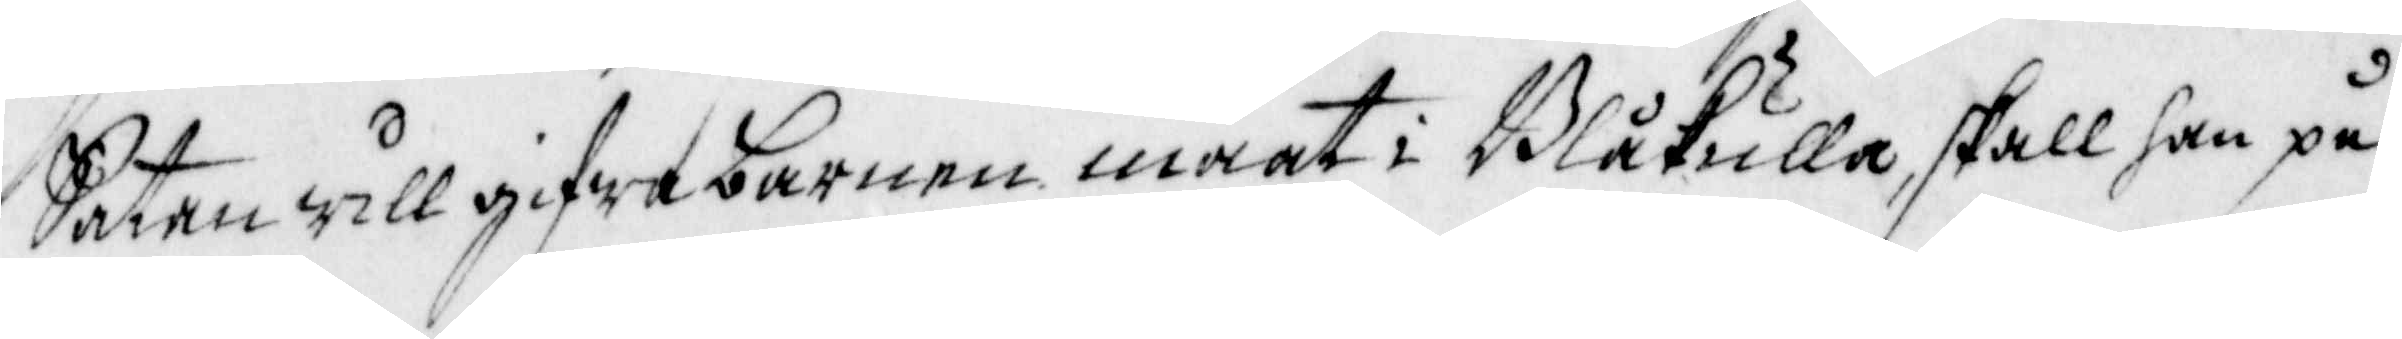Satan will gifwa barnen maat i Blåkulla, skall han på
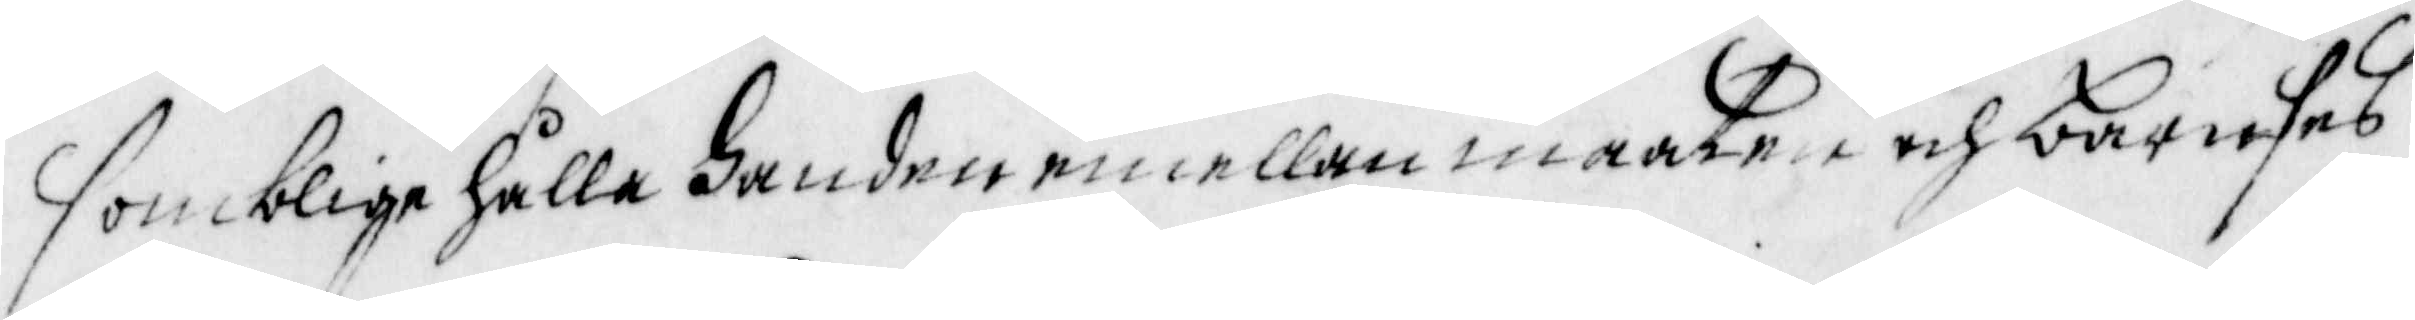somblige hålla handen emellan maaten och barnses
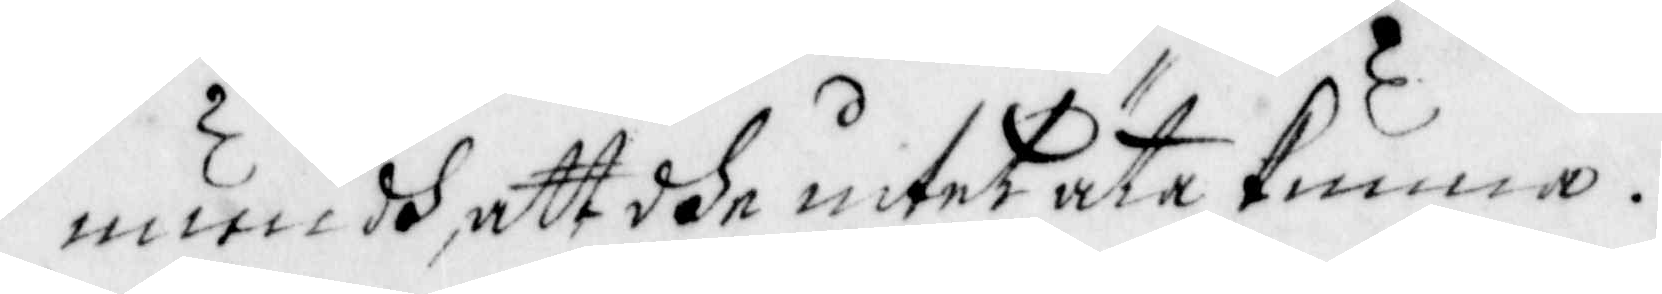mundh, att dhe intet äta kunna.
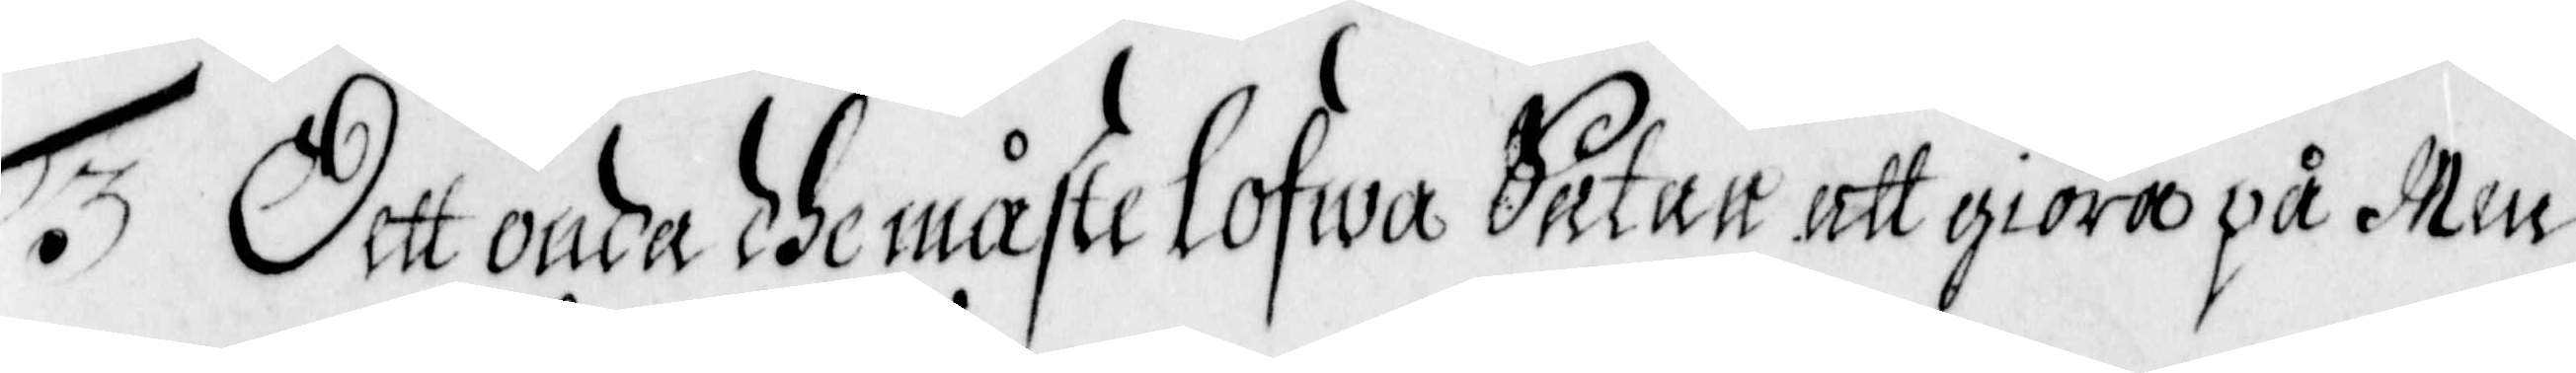Dett onda dhe måste lofwa Satan att giöra på Men¬
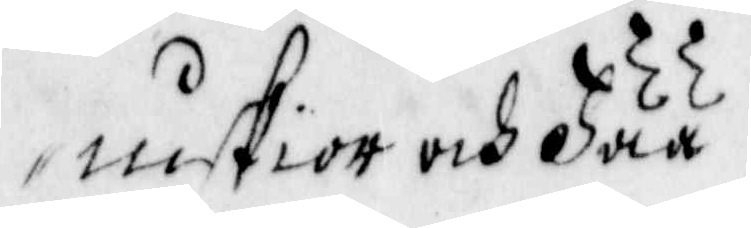niskior och Fää.
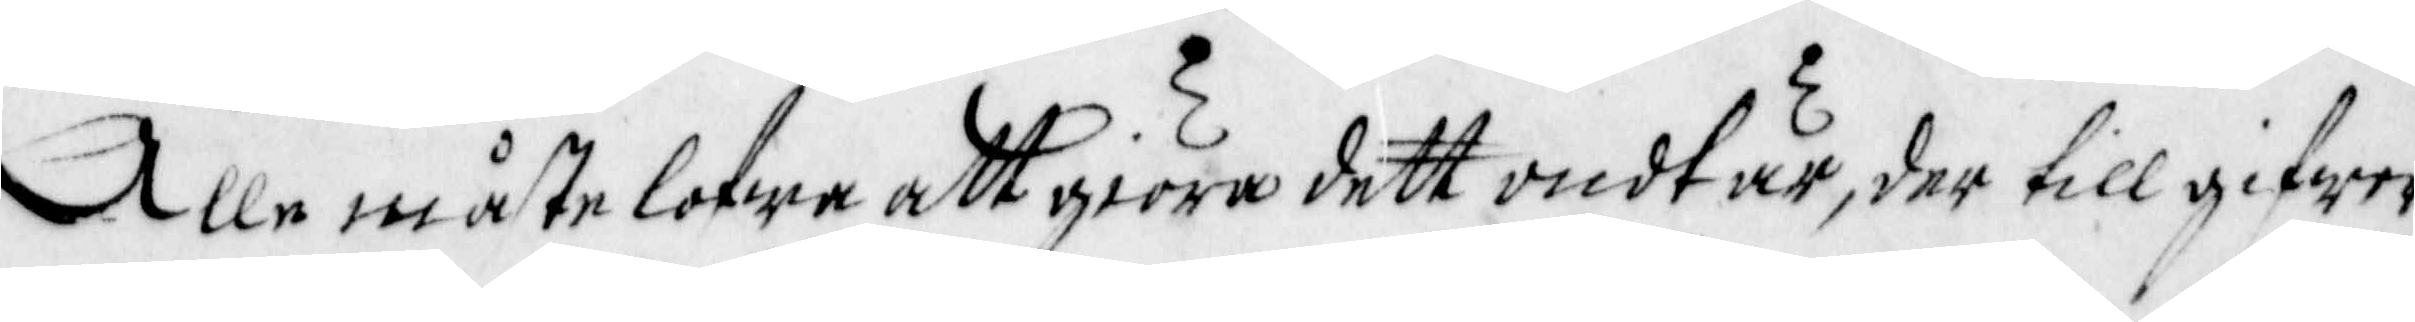Alle måste lofwa att giöra dett ondt är, der till gifwer
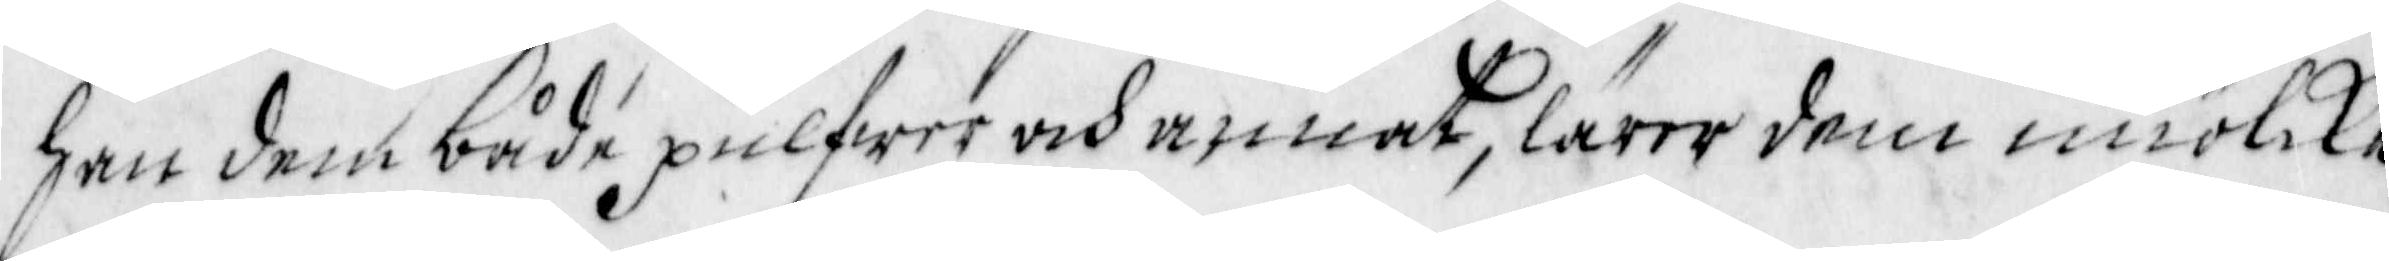han dem både pulfwer och annat, lärer dem miölke
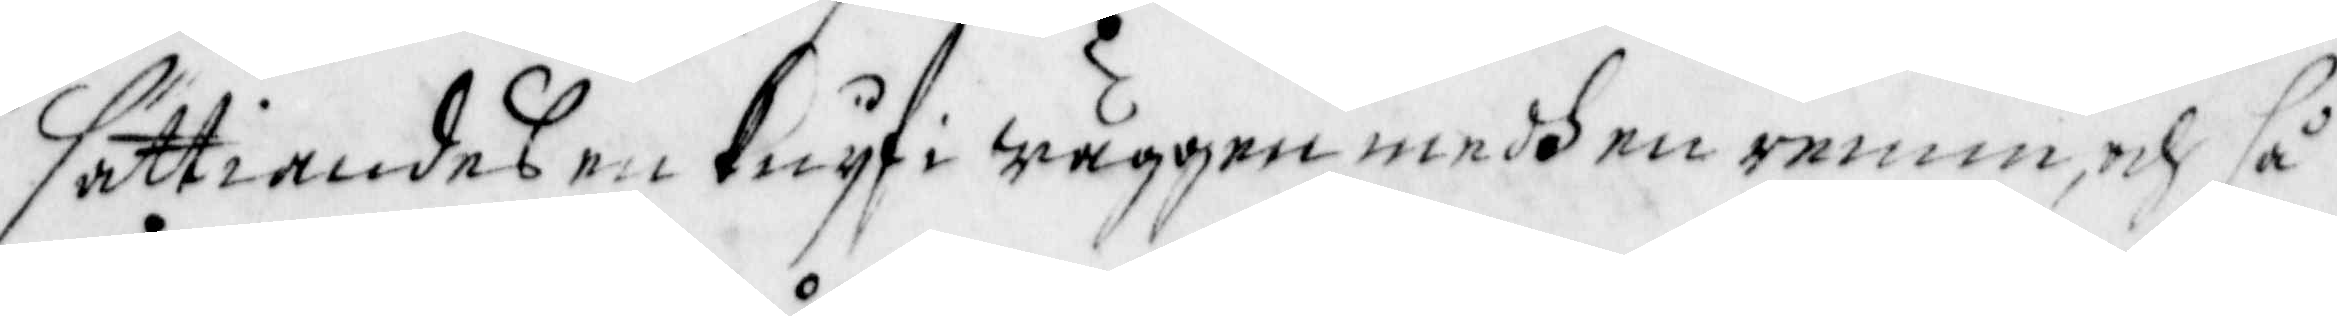sättiandes en Knyf i wäggen medh en remm, och så
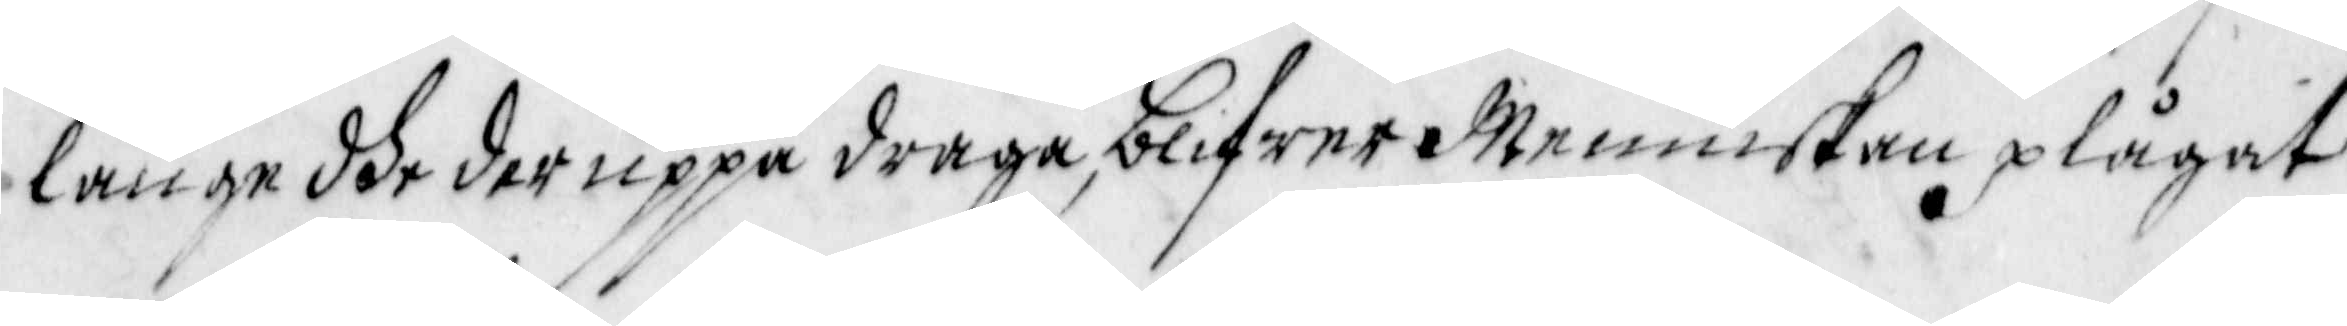länge dhe der uppå draga, blifwer Menniskan plågat
